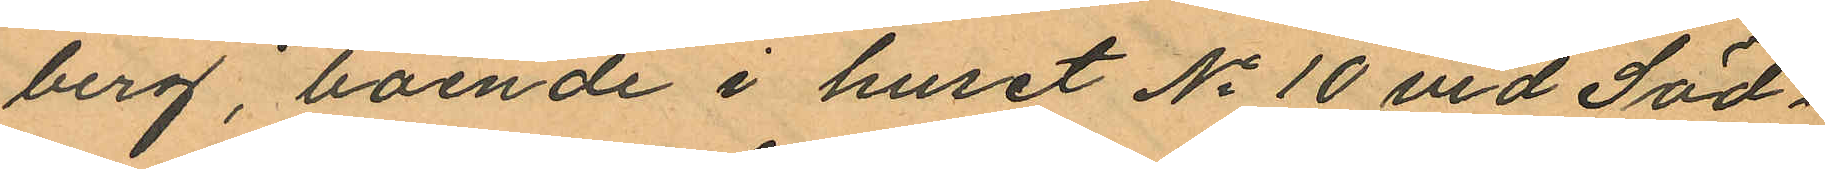berg, boende i huset No 10 vid Söd¬
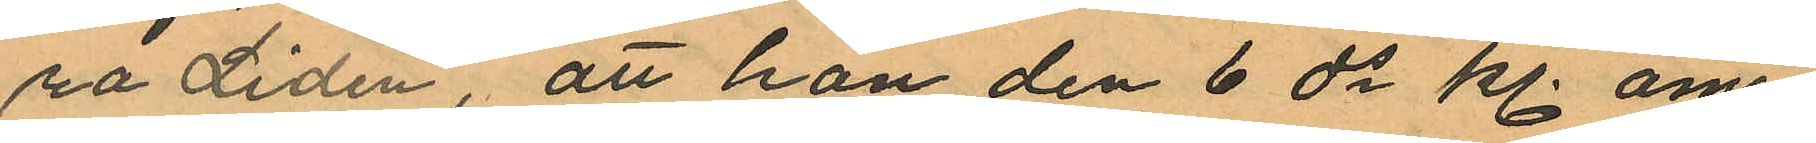ra Liden, att hon den 6 ds kl. om¬
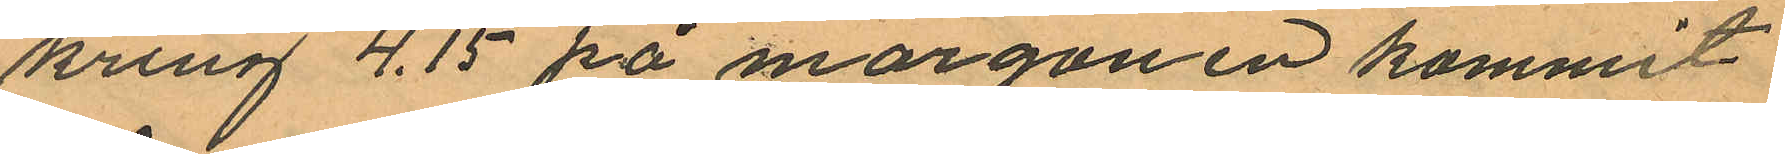kring 4.15 på morgonen kommit
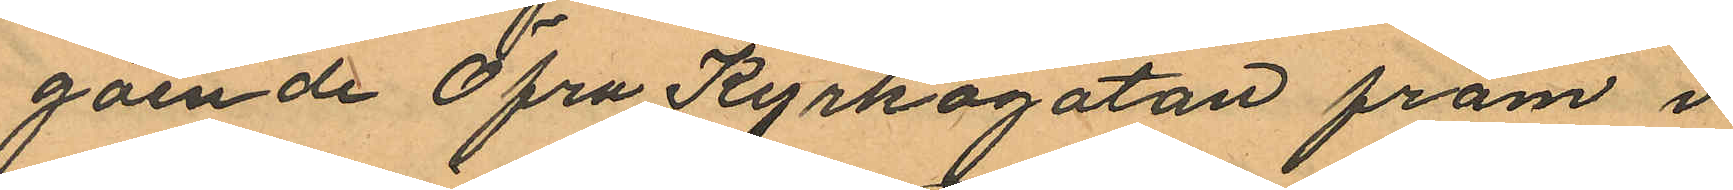gående Öfra Kyrkogatan fram i
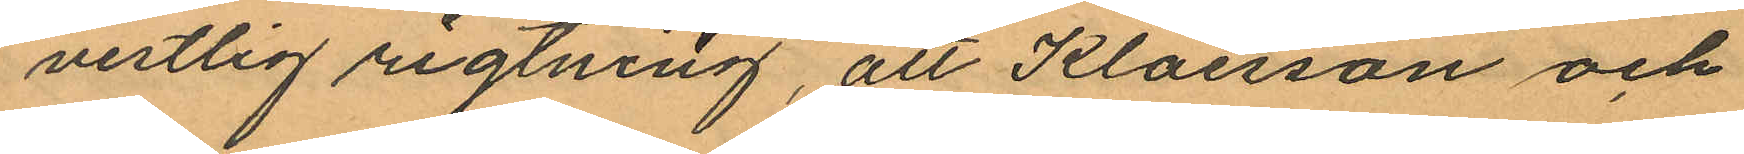vestlig rigtning, att Klaesson och
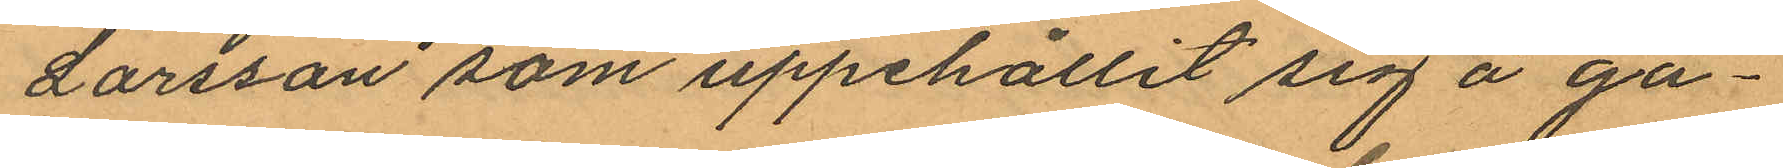Larsson som uppehållit sig å ga¬
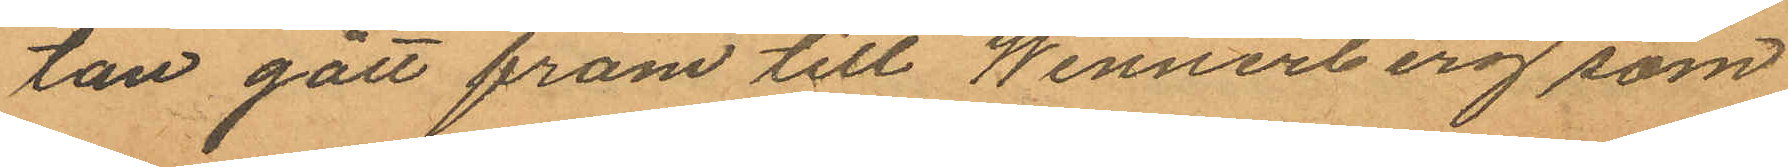tan gått fram till Wennerberg som
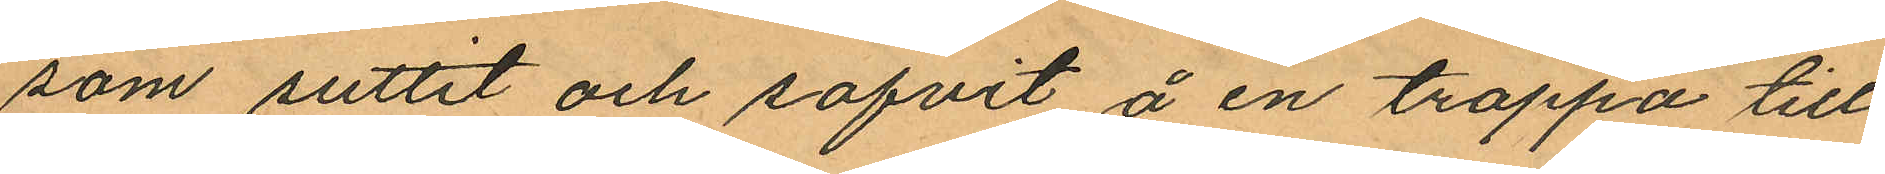som suttit och sofvit å en trappa till
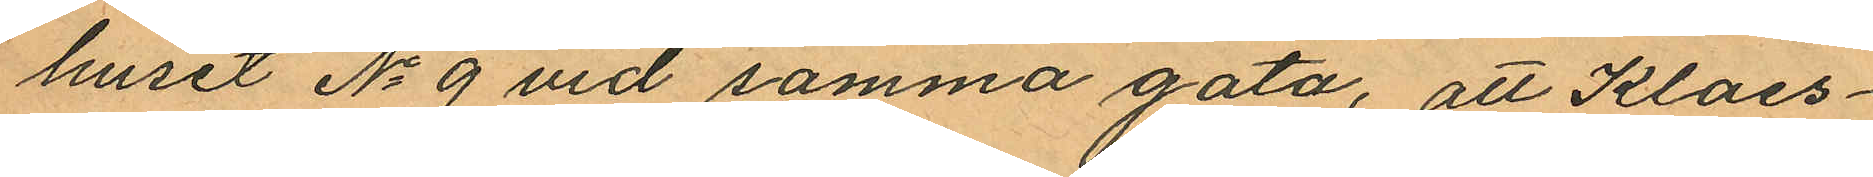huset No 9 vid samma gata, att Klaes¬
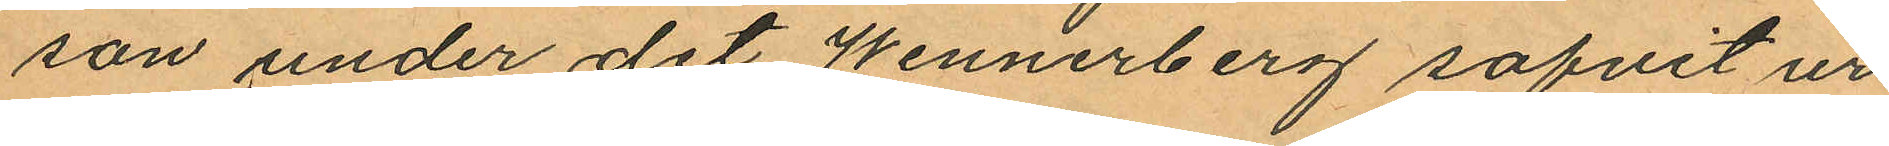son under det Wennerberg sofvit ur
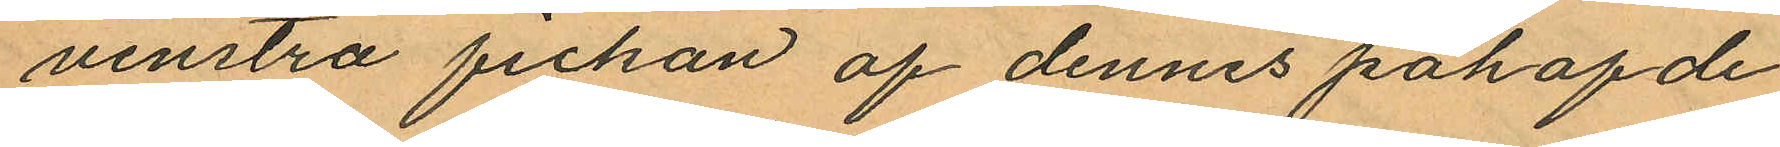venstra fickan af dennes påhafde
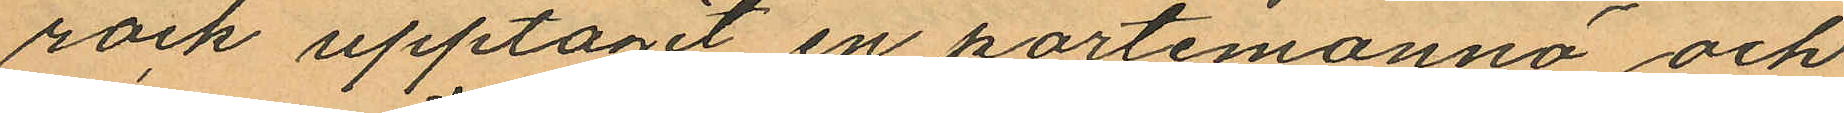rock upptagit en portemonnä och
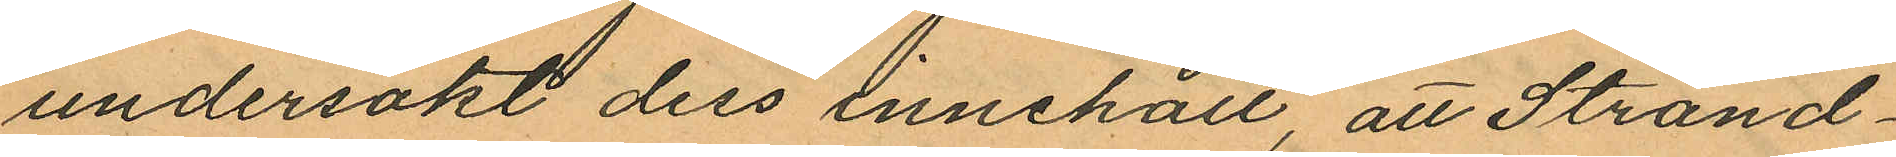undersökt dess innehåll, att Strand¬
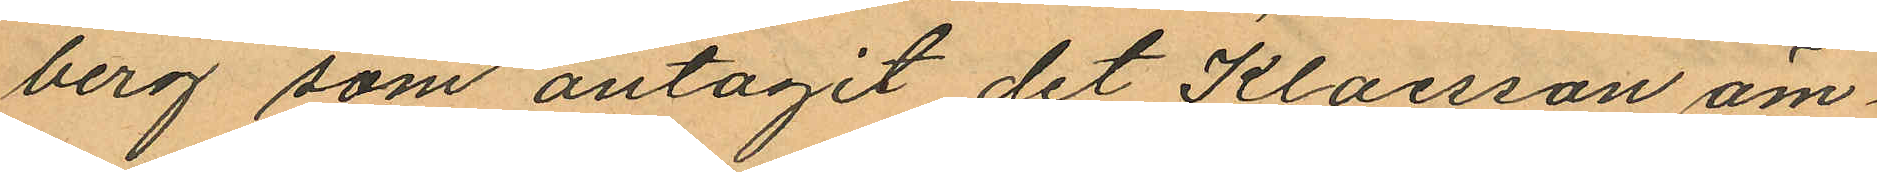berg som antagit det Klaesson äm¬
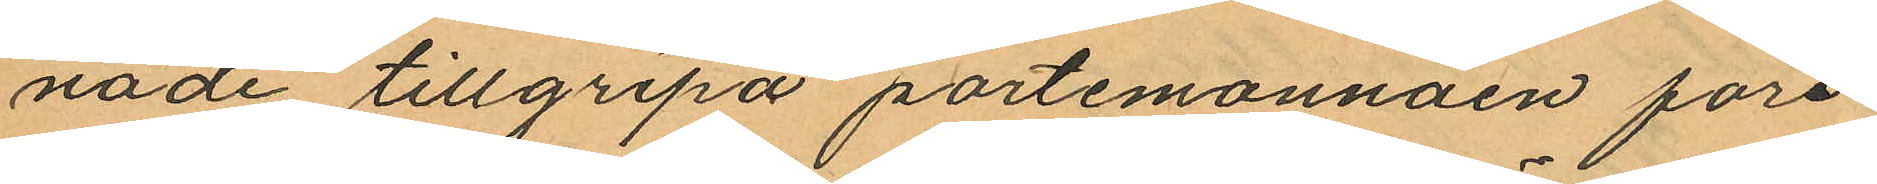nade tillgripa portemonnäen för¬
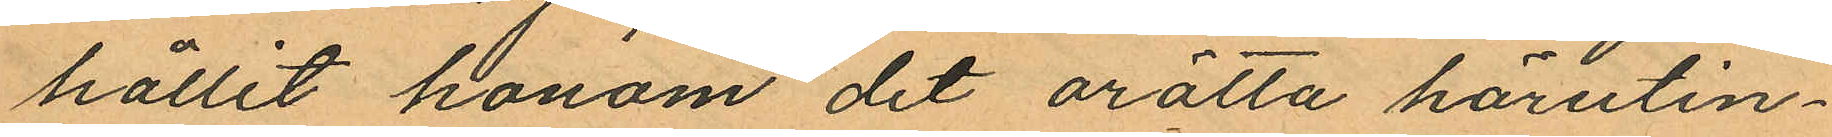hållit honom det orätta härutin¬
